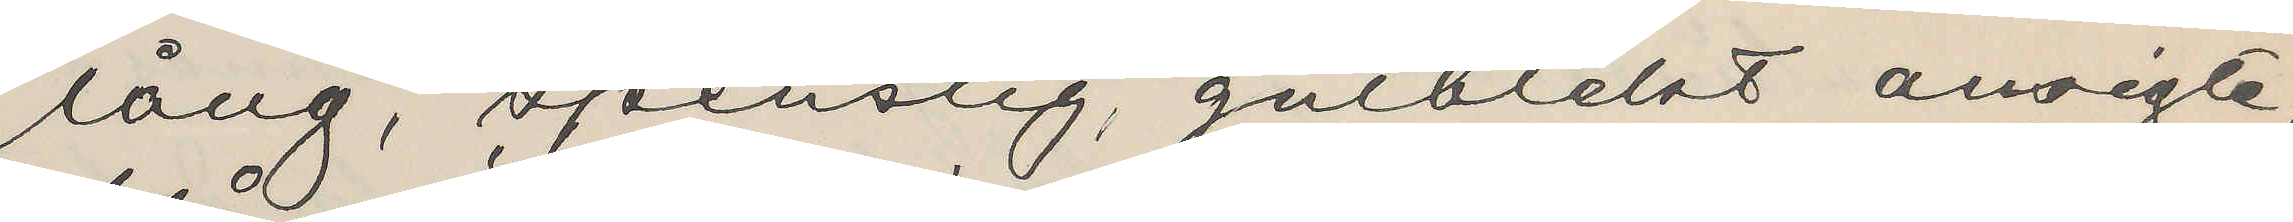lång, spenslig, gulblekt ansigte
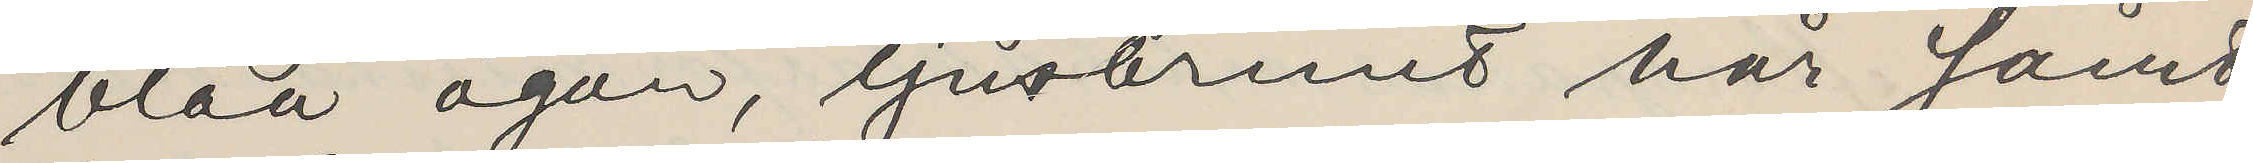blåa ögon, ljusbrunt hår samt
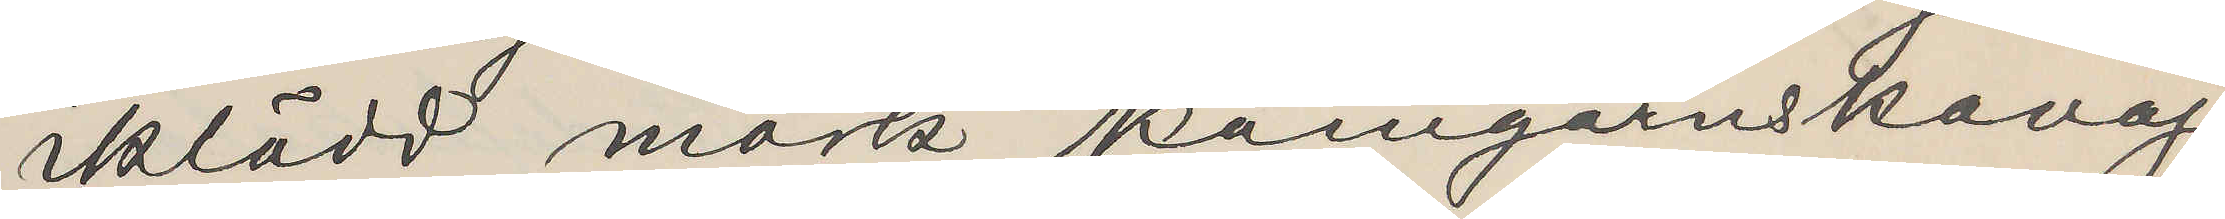iklädd mörk kamgarnskavaj,
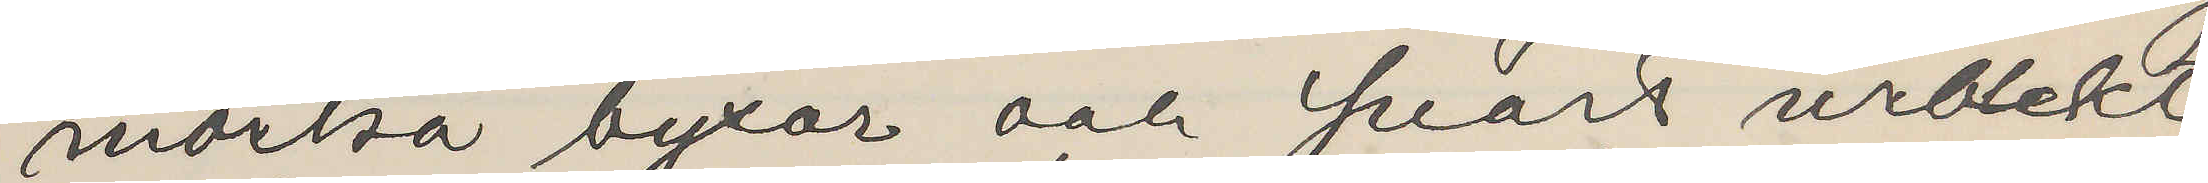mörka byxor och svart urblekt
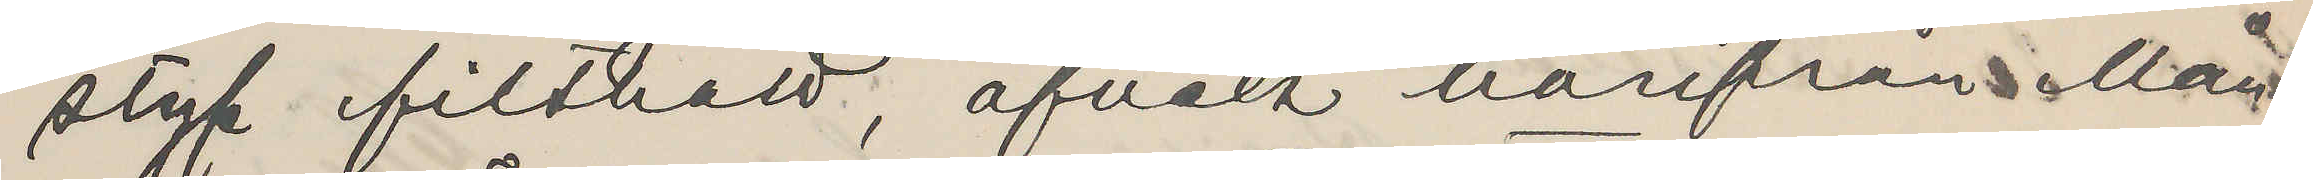styf filthatt, afvek härifrån Mån¬
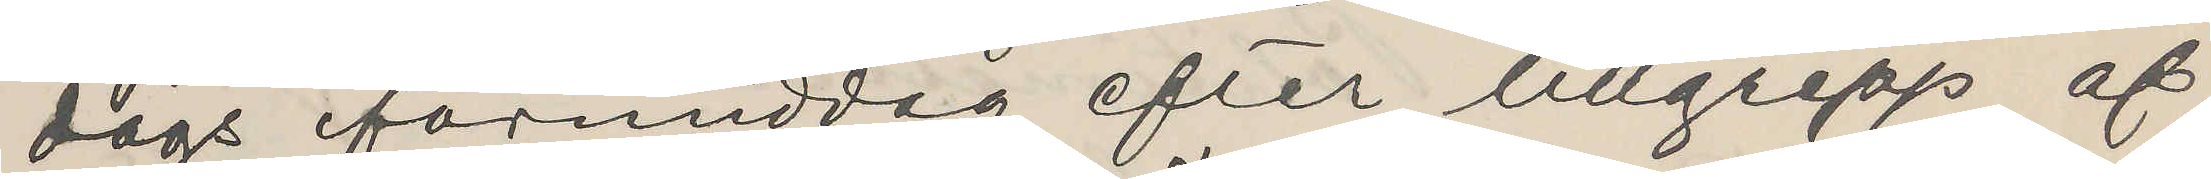dags förmiddag efter tillgrepp af
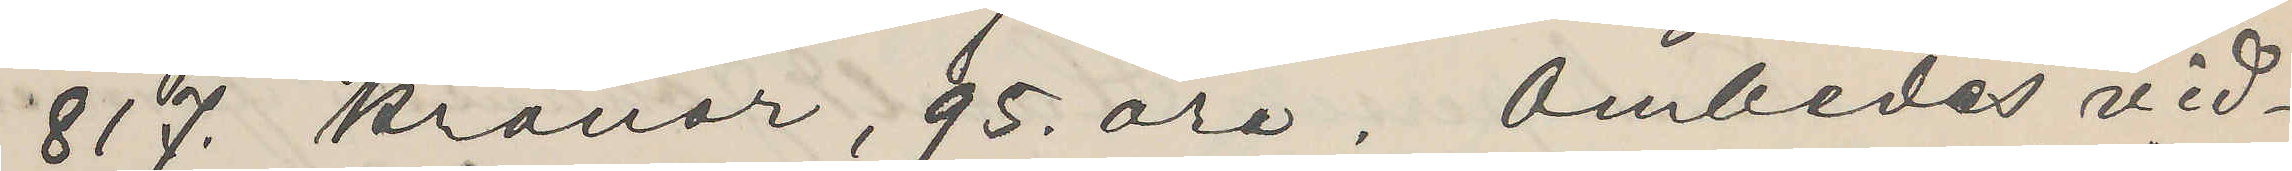817 Kronor, 95 öre. Ombedes vid¬
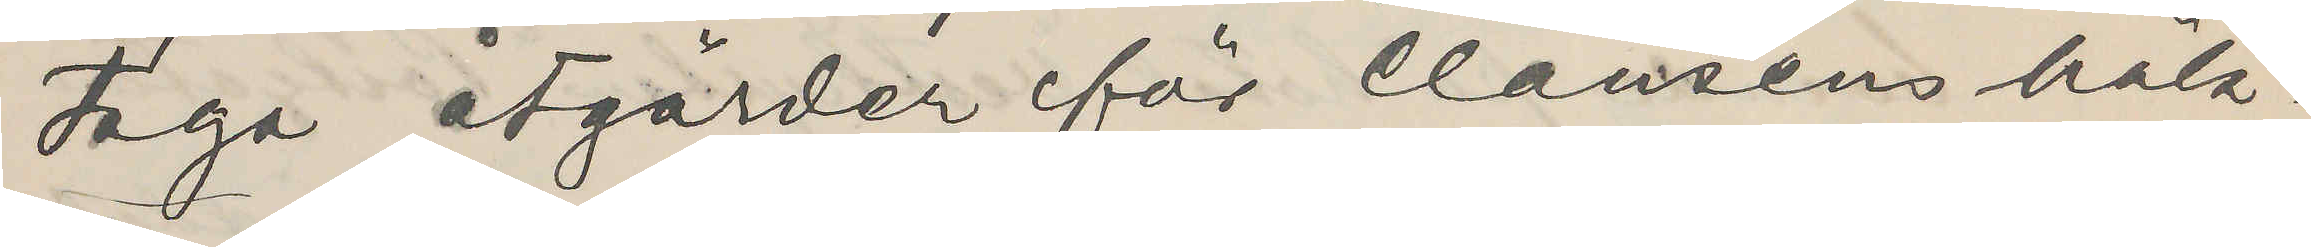taga åtgärder för Clausens häk¬
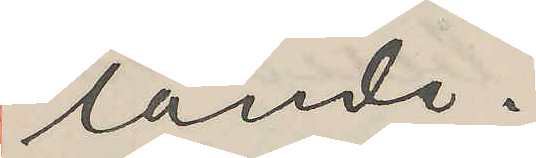tande.
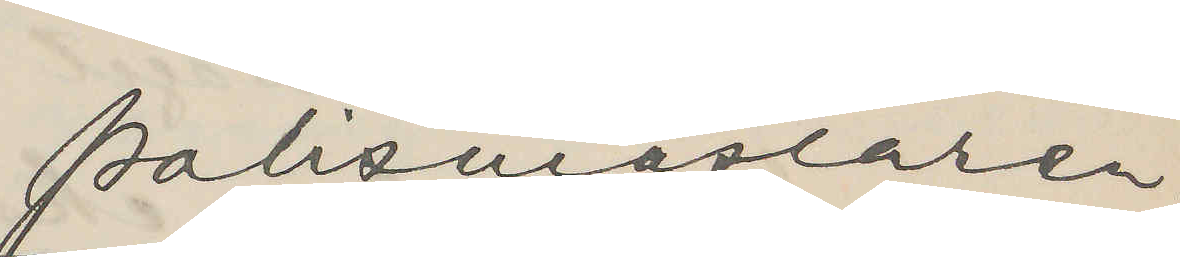Polismästaren.
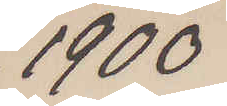1900
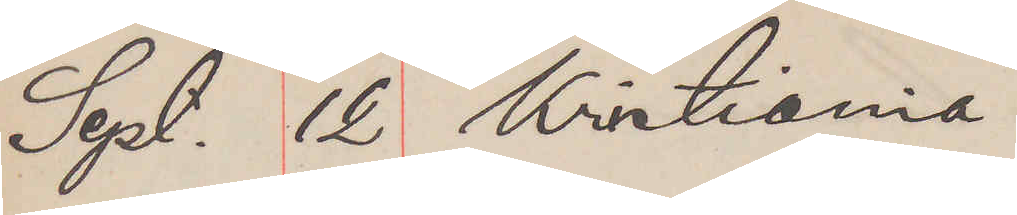Sept. 12. Kristiania
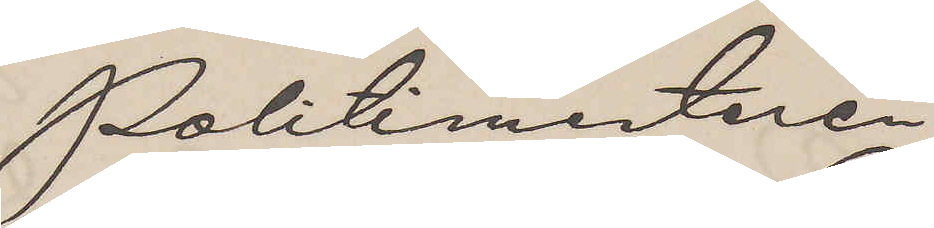Politimesteren
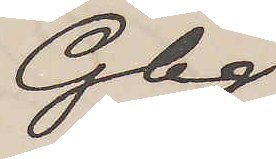Gbg.
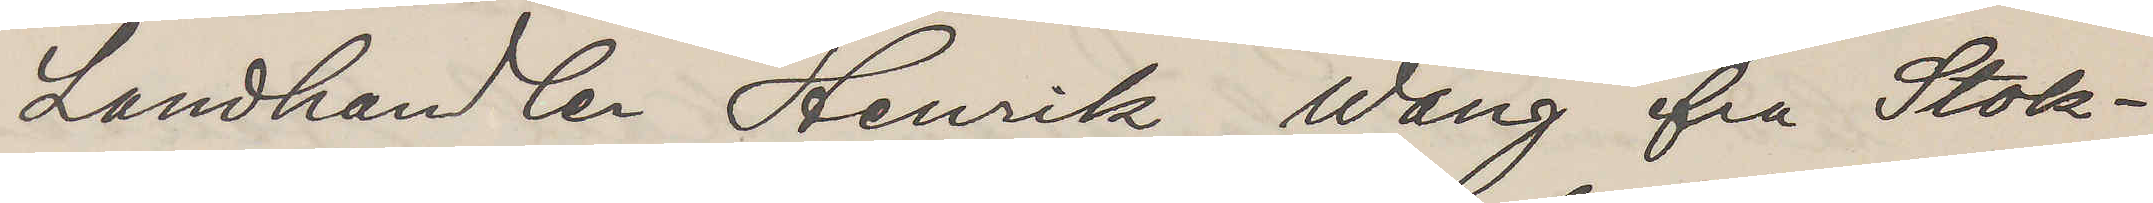Landhandlen Henrik Wang ifra Stok¬
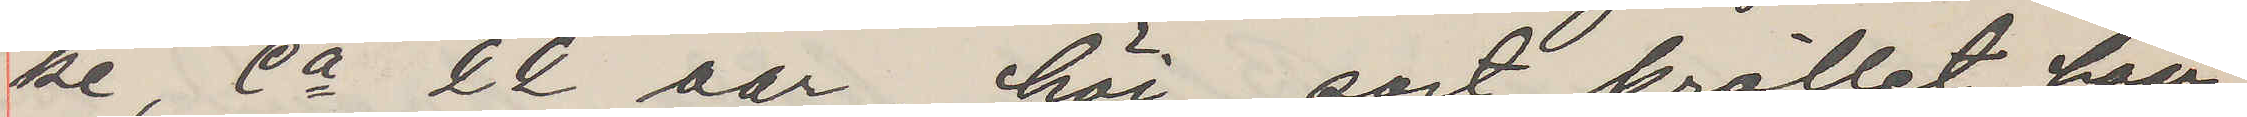ke, ca 22 aar, höi, sort kröllet haar,
